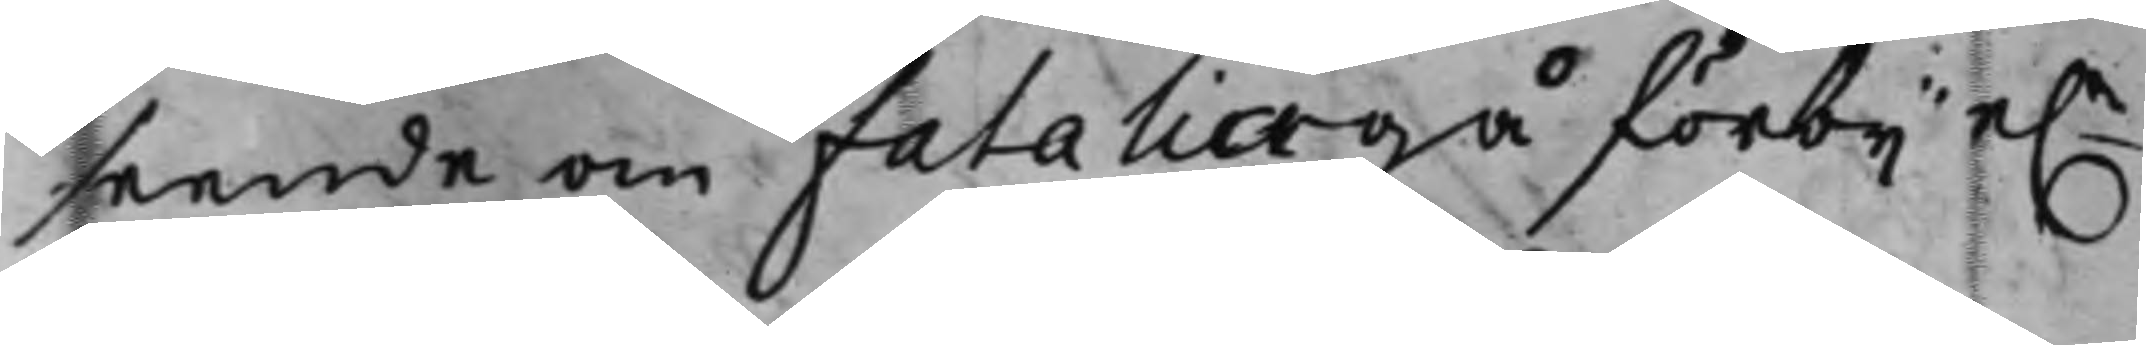seende om Fatalia gå förbij e.r
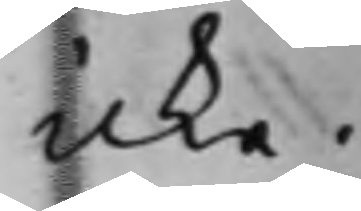icke.
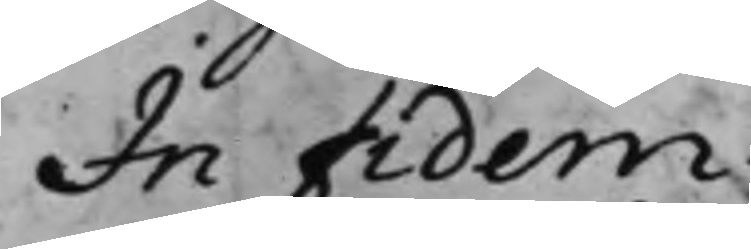In Fidem
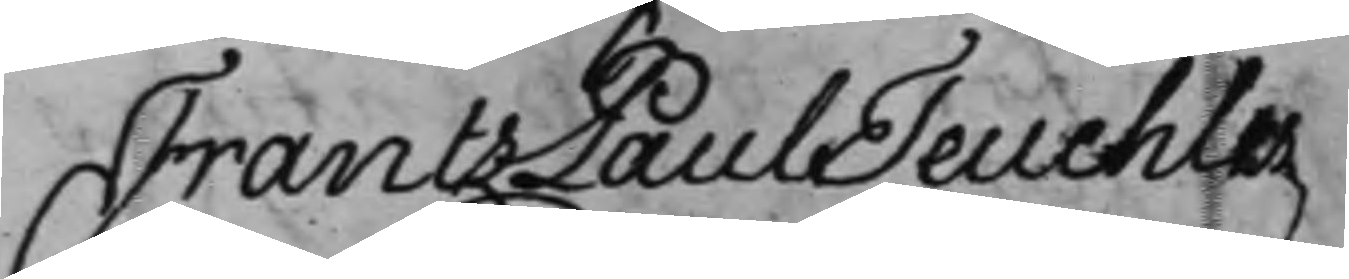Frantz Paul Teuchler
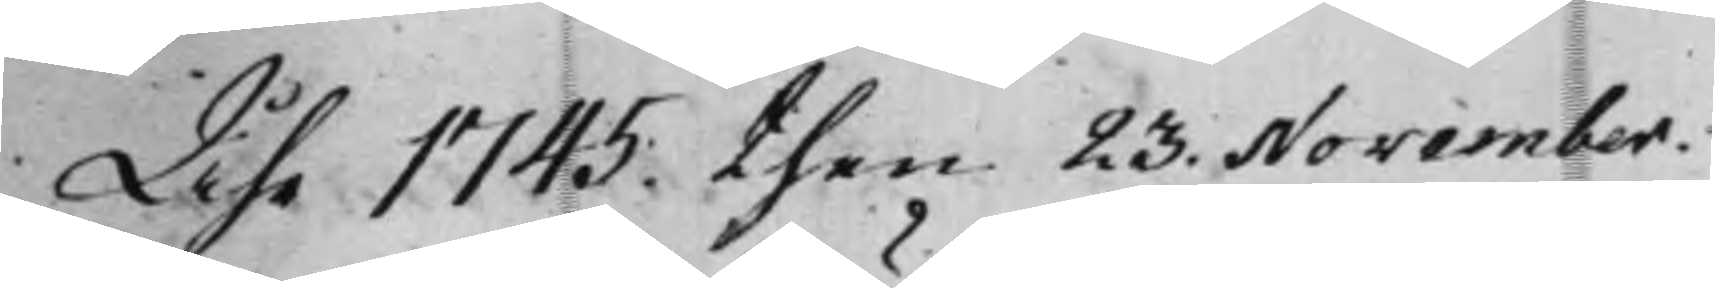Åhr 1745. then 23. November.
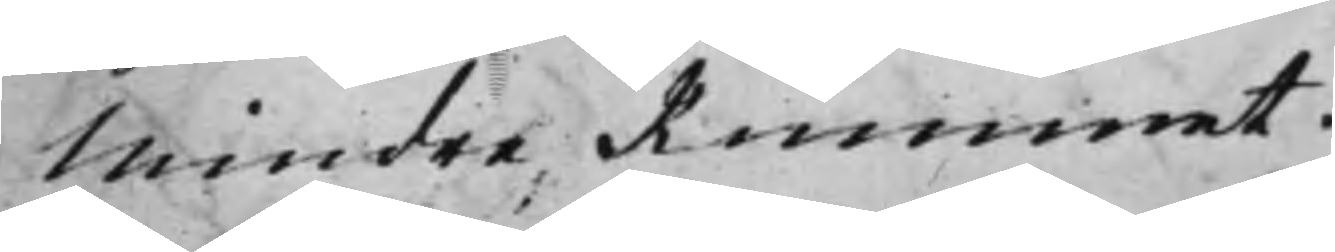Mindre Rummet.
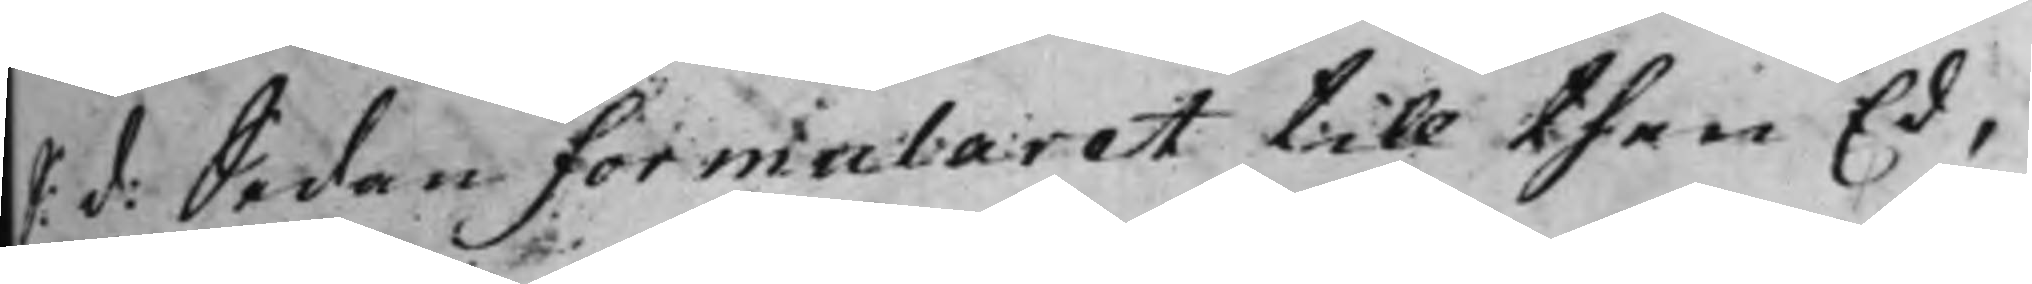S: d: Sedan formularet till then Ed,
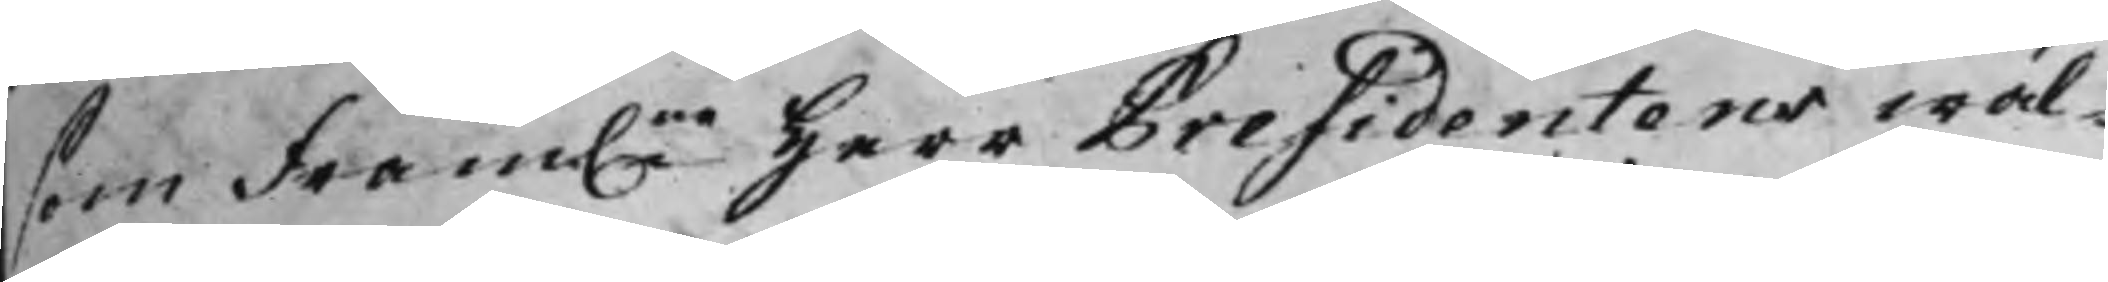som fram.ne Herr Presidentens wäl¬
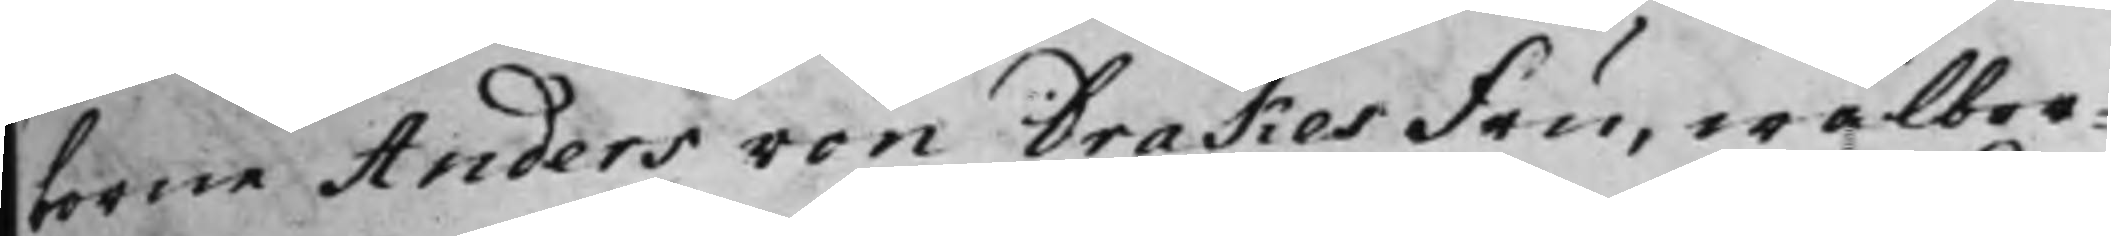borne Anders von Drakes Fru, wälbor¬
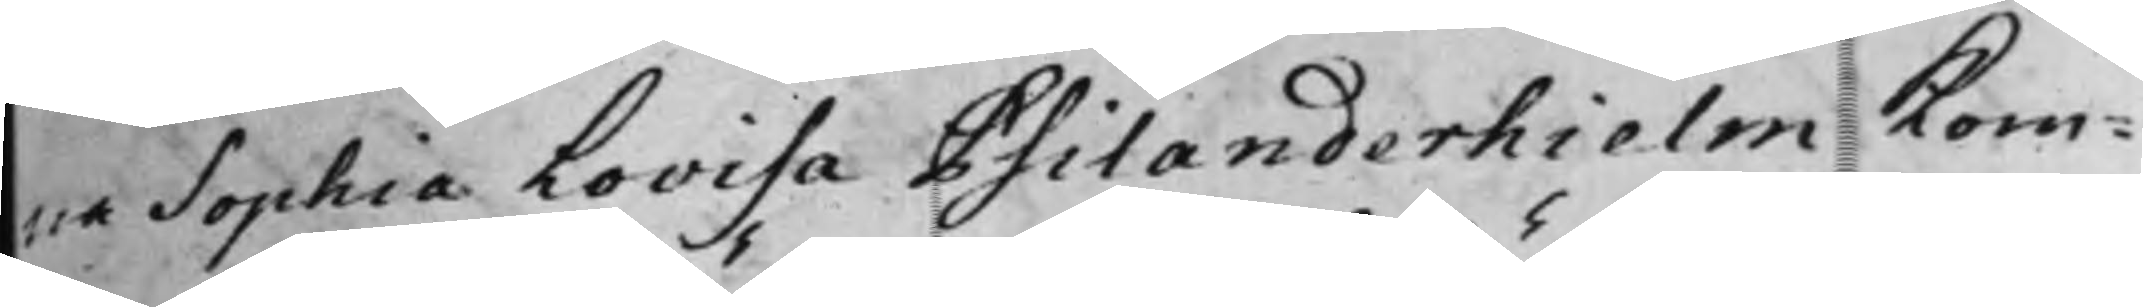na Sophia Lovisa Psilanderhielm Kom¬
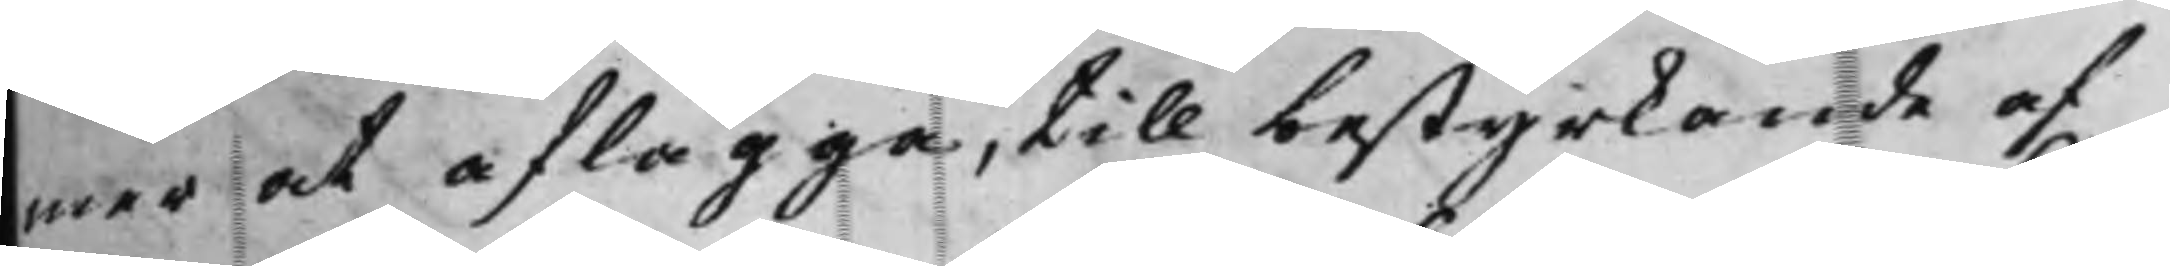mer at aflägga, till bestyrkande af
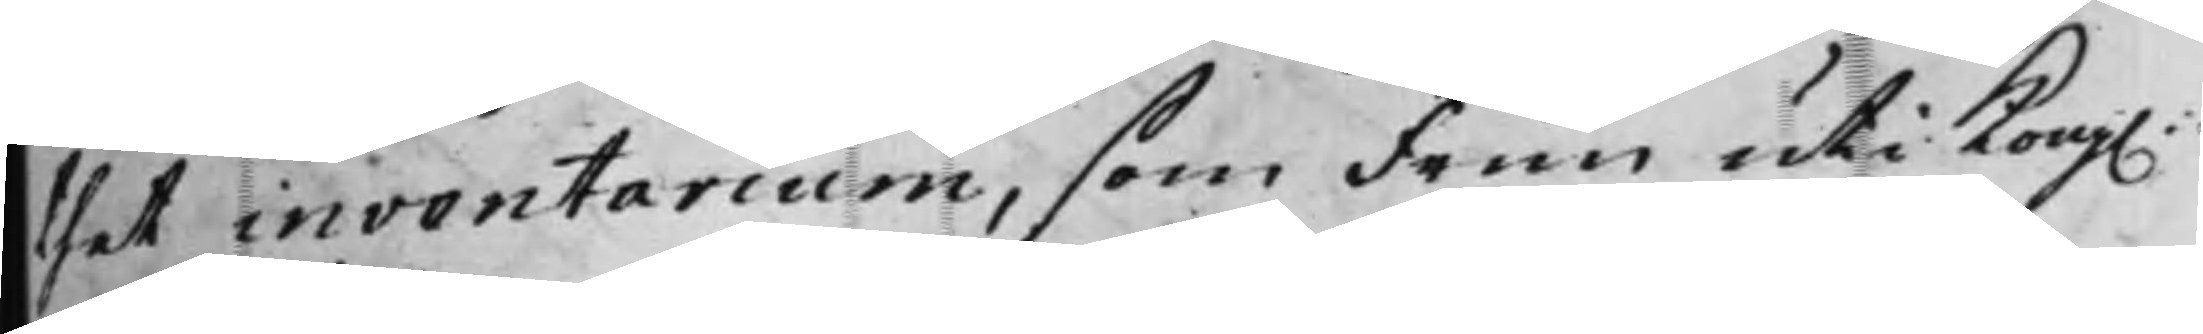thet inventarium, som Frun uti Kong.
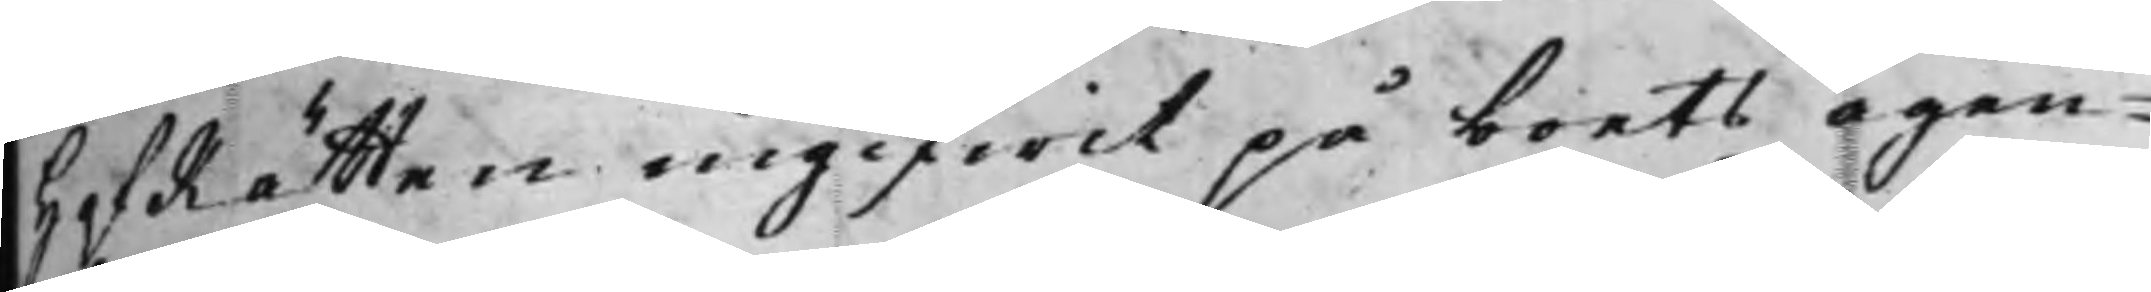HofRätten ingifwit på boets ägen¬
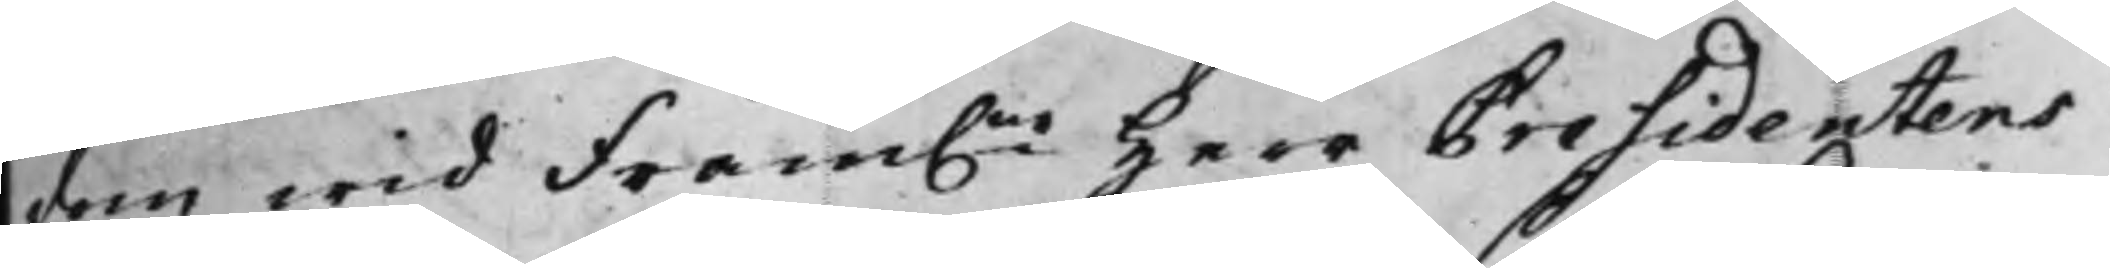dom wid Fram.ne Herr Presidentens
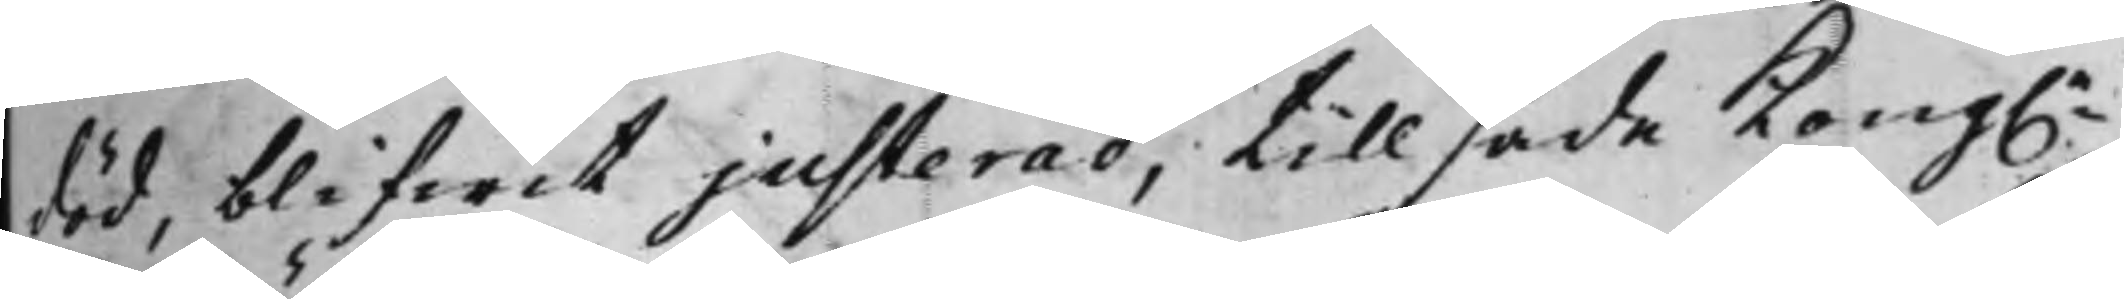död, blifwit justerad, tillsade Kong.e
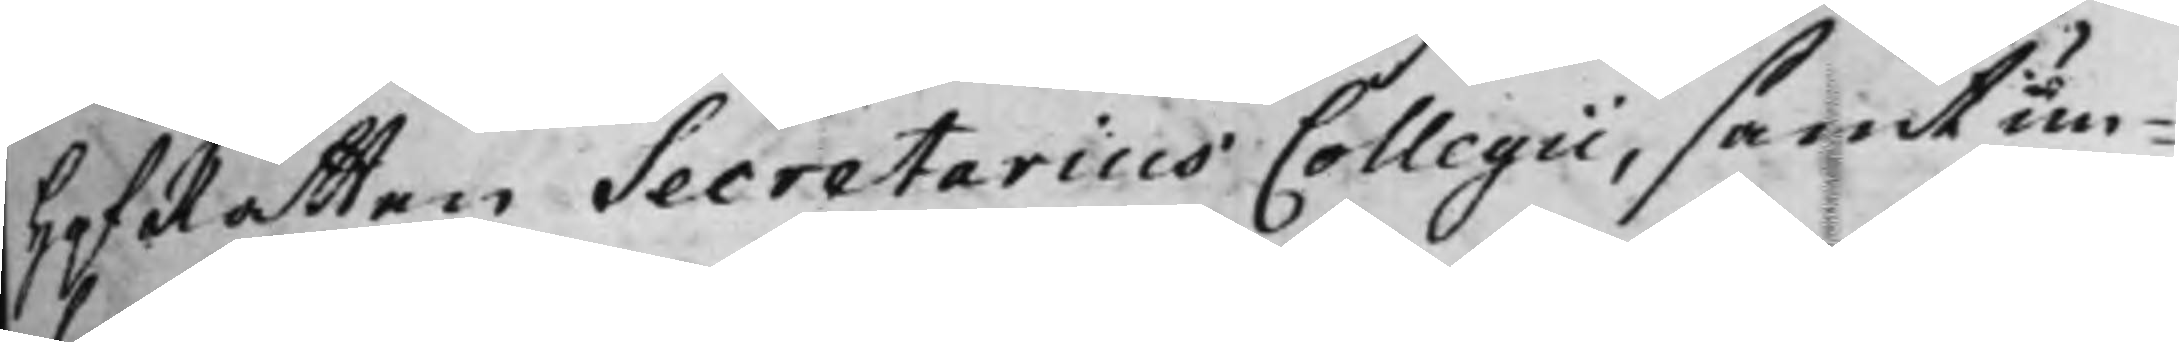HofRätten Secretarius Collegii, samt un¬
